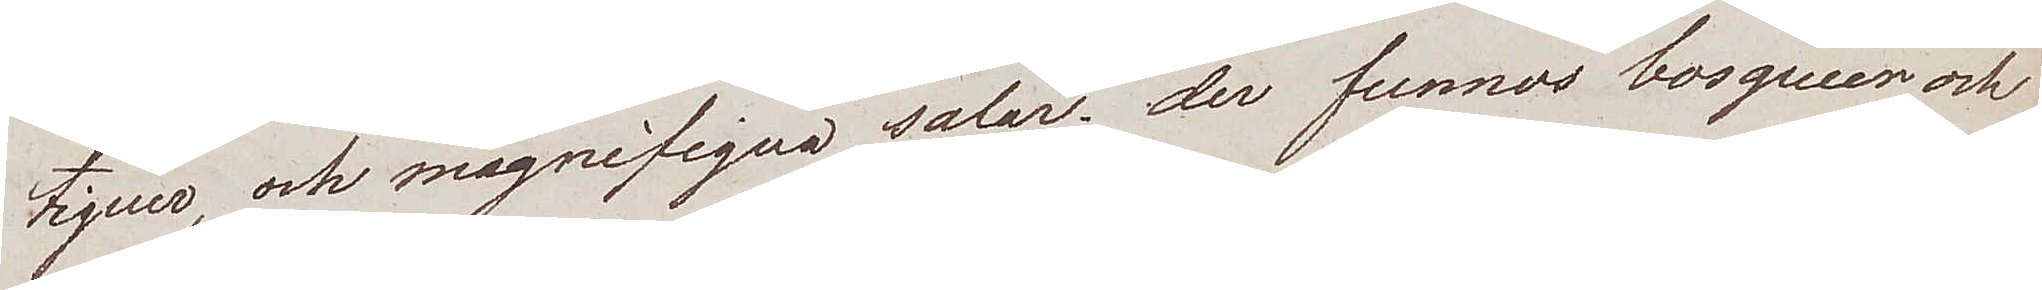tiquer, och magnifiqua salar. der funnos bosqueer och
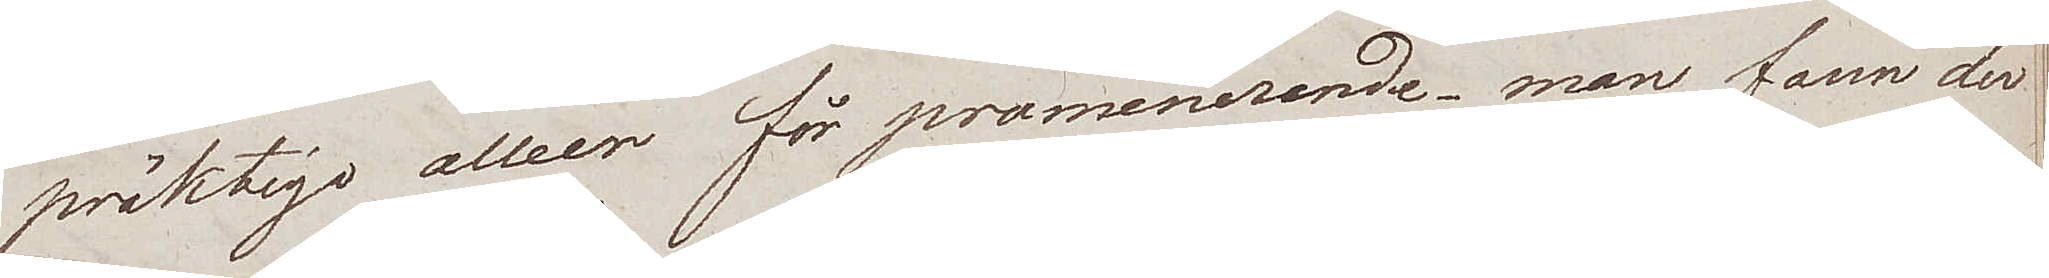präktige alleer för promenerande. man fann der
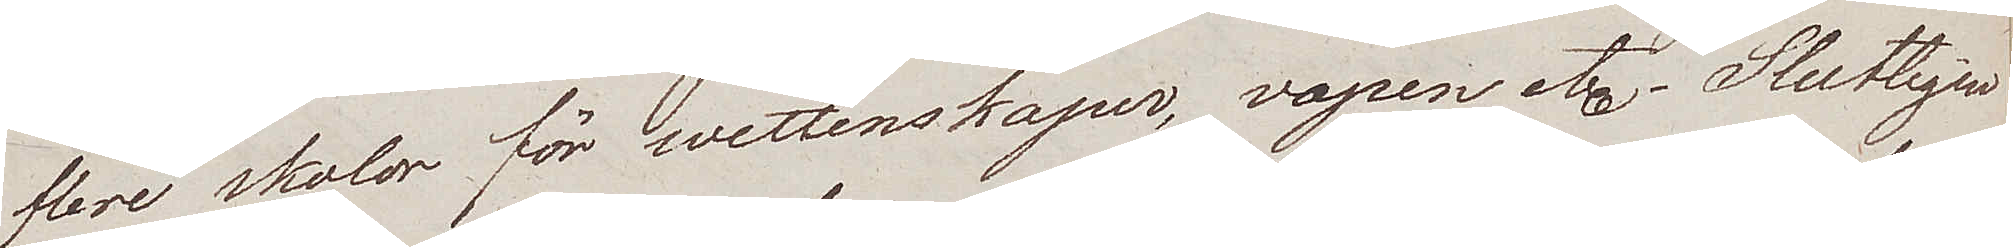flere skolor för wettenskaper, vapen etc. Slutligen
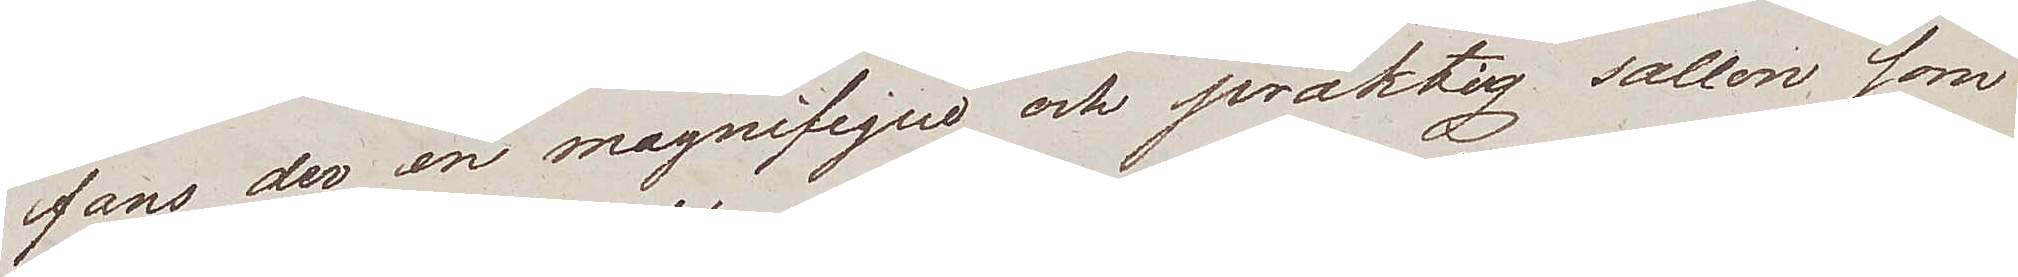fans der en magnifique och präktig sallon som
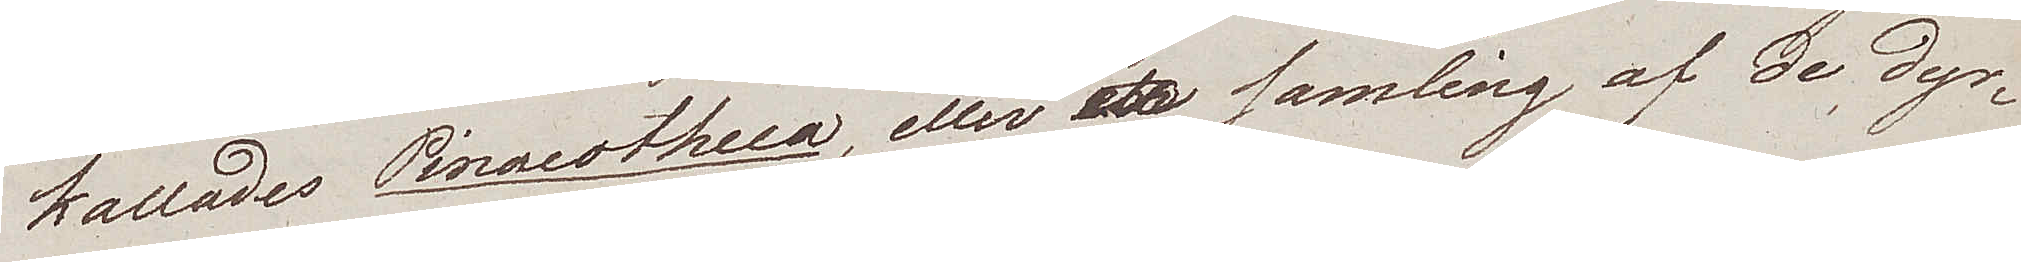kallades Pinacotheca, eller samling af de dyr¬
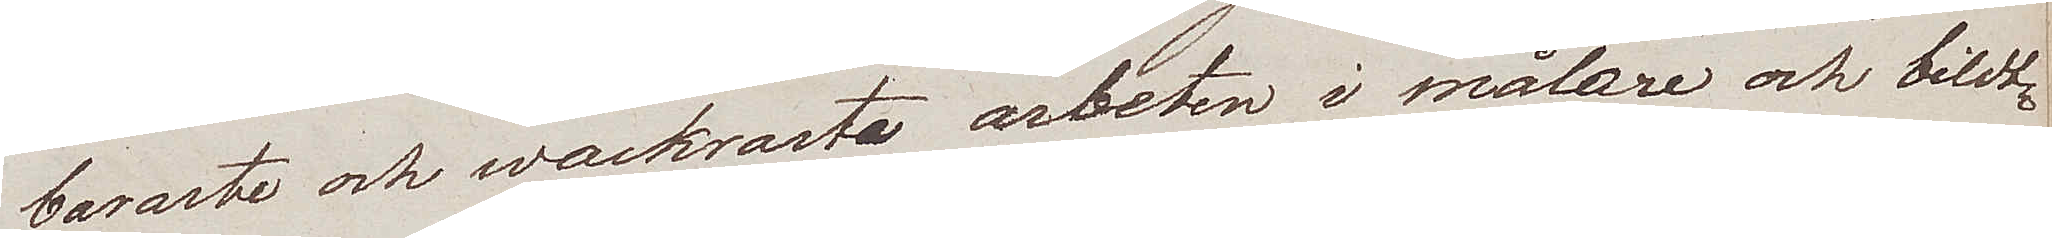baraste och wackraste arbeten i målare och bildt¬
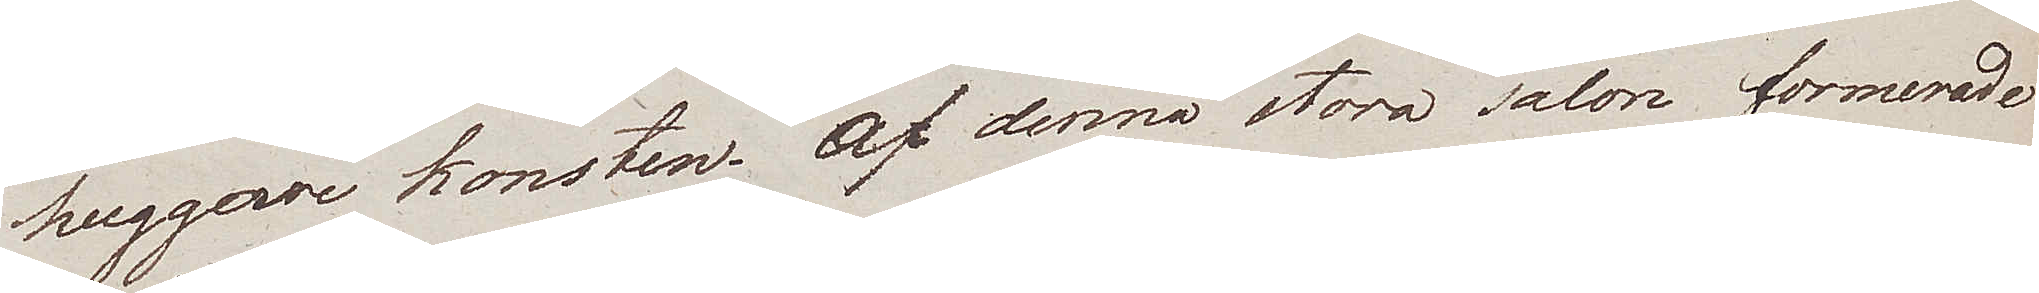huggare konsten. Af denna stora salon, formerade
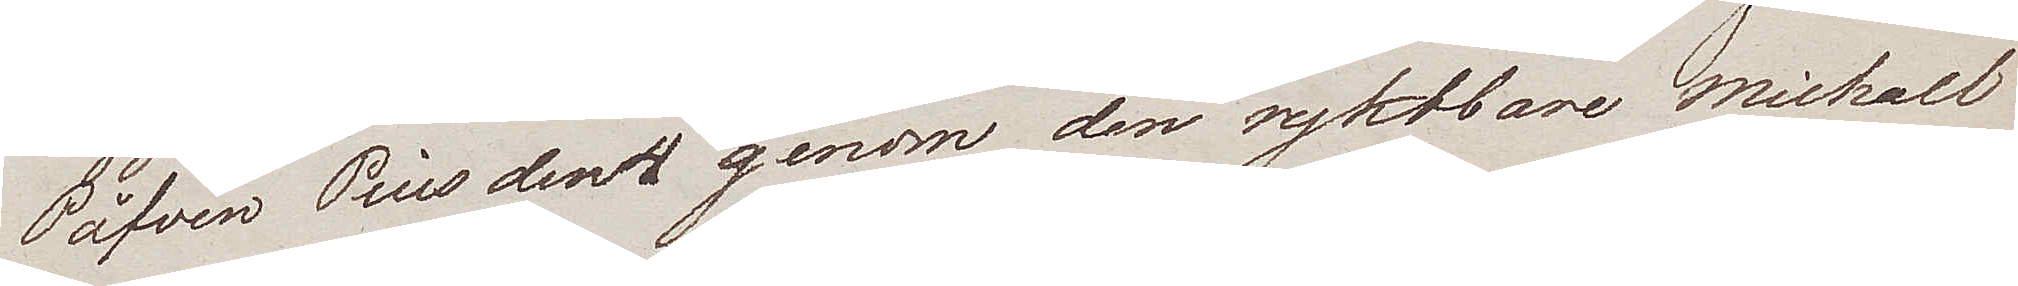Påfven Pius den 4 genom den ryktbare Michael
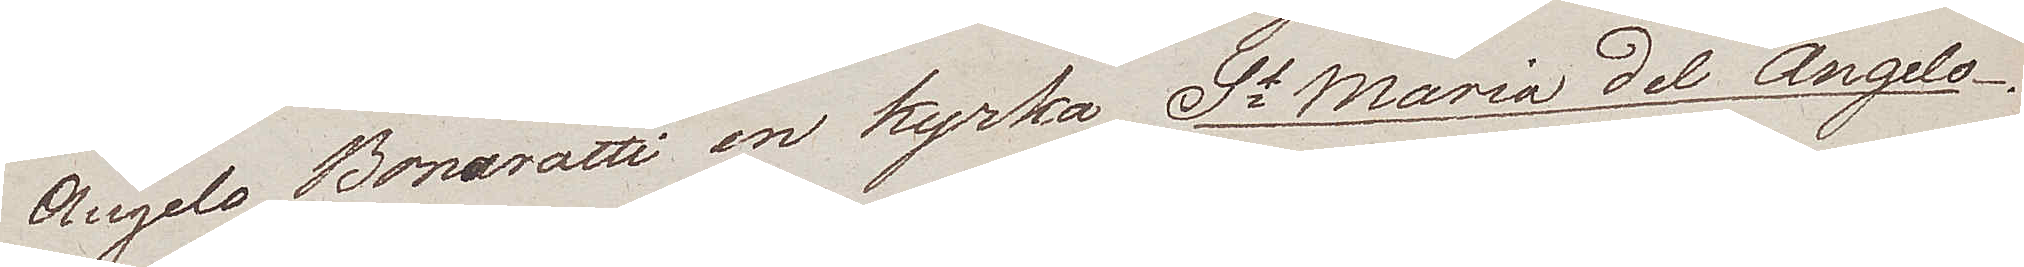Angelo Bonarotti en kyrka St Maria del Angelo.
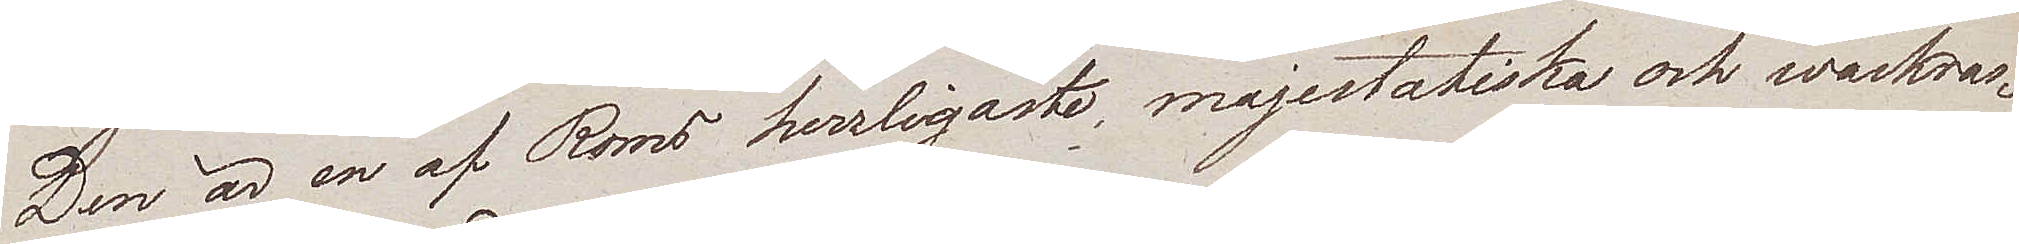Den är en af Roms herrligaste, majestatiska och wackras¬
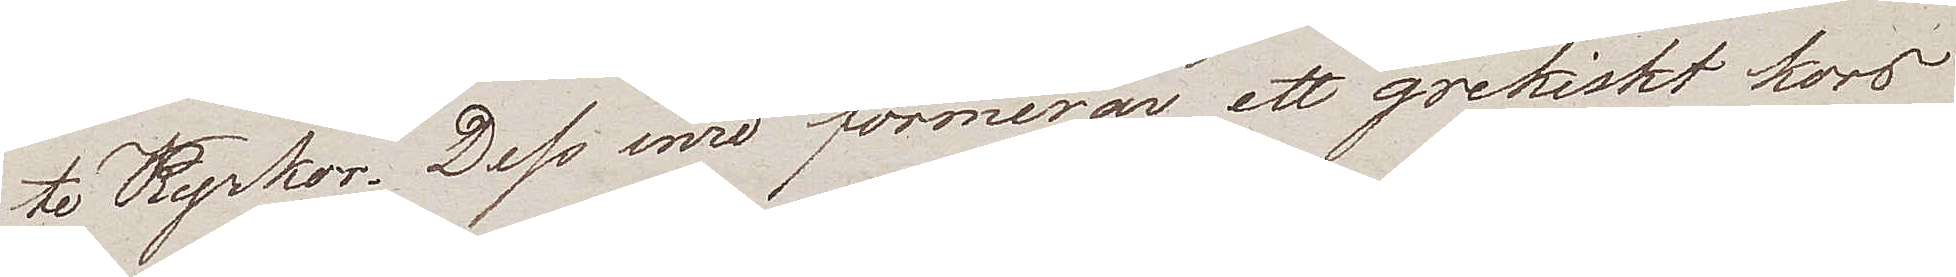te Kyrkor. Dess inre formerar ett grekiskt kors
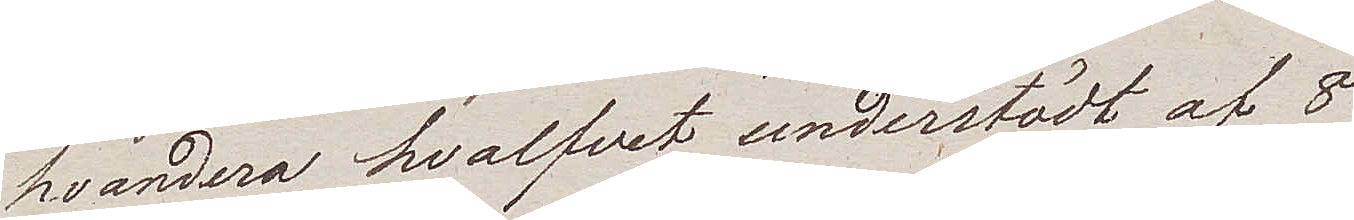hvardera hvalfvet understödt af 8
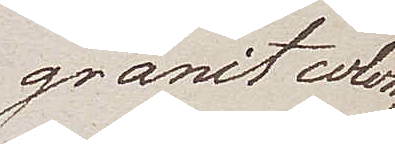granit colon¬
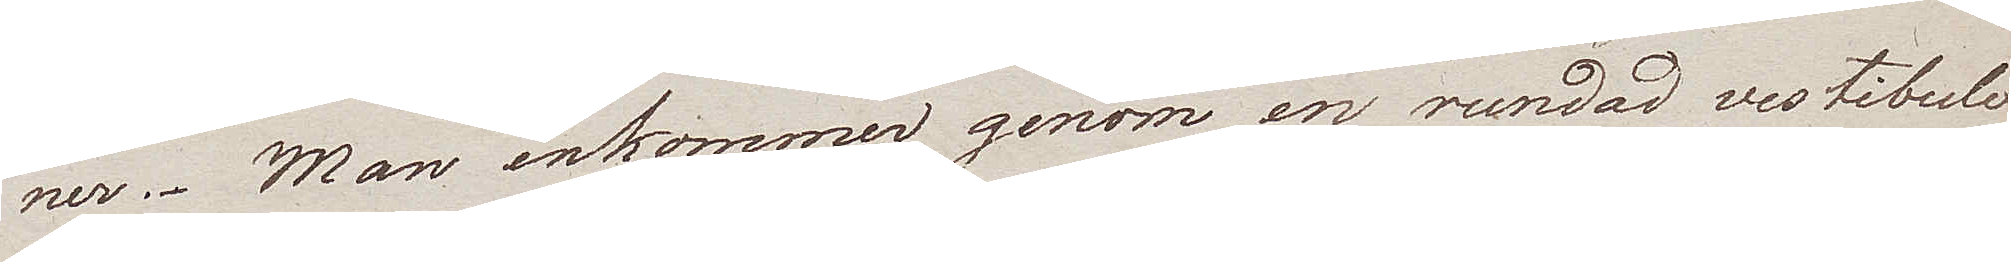ner. Man inkommer genom en rundad vestibuli
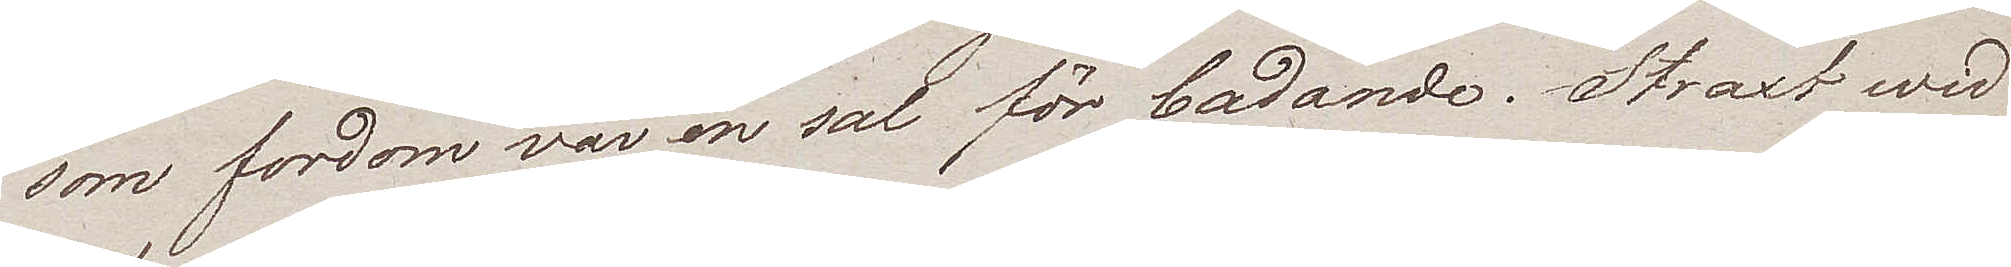som fordom var en sal för badande. Straxt wid
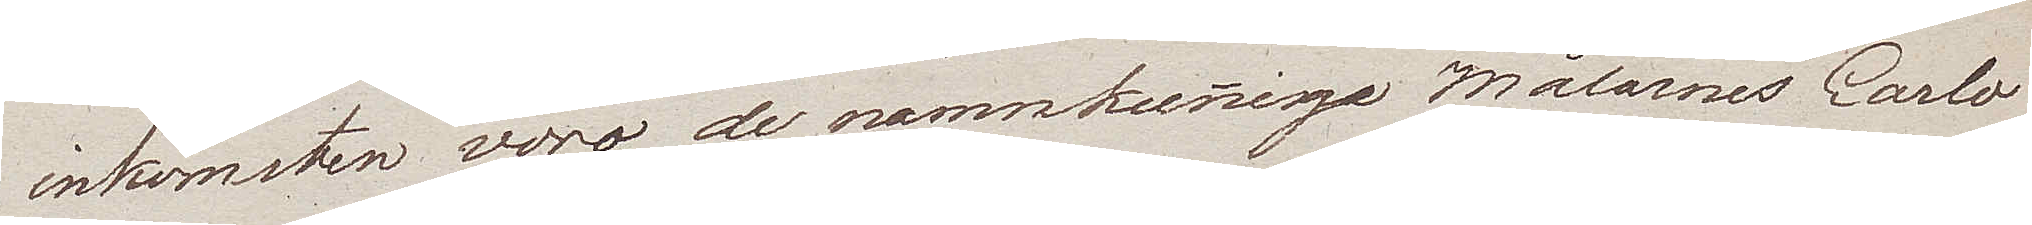inkomsten voro de namnkunnige Målarnes Carlo
